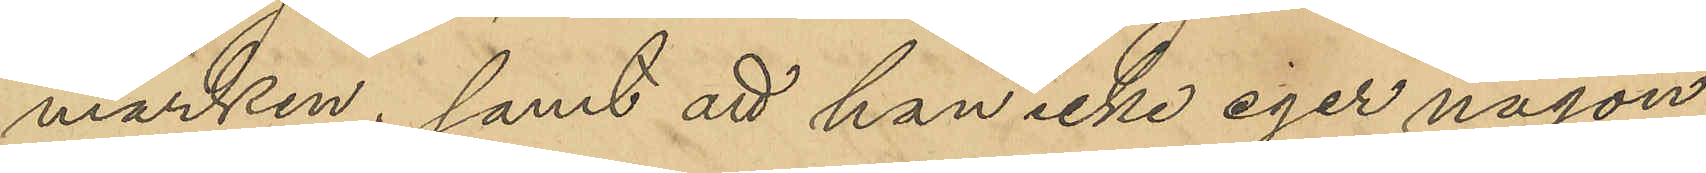marken; samt att han icke eger någon
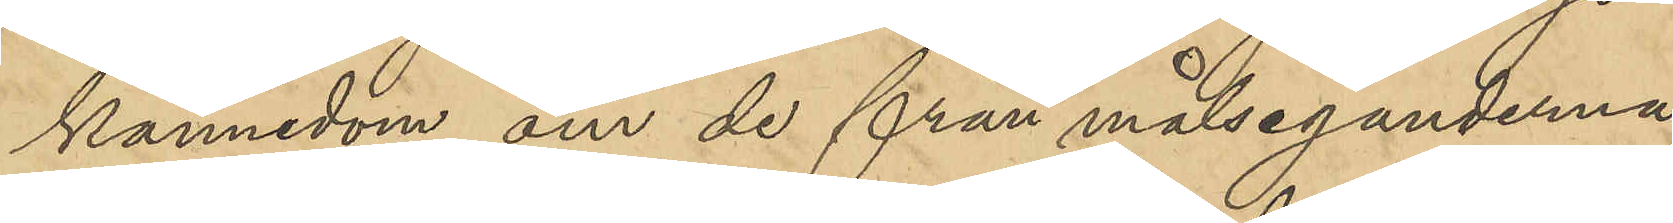kännedom om de från målseganderna
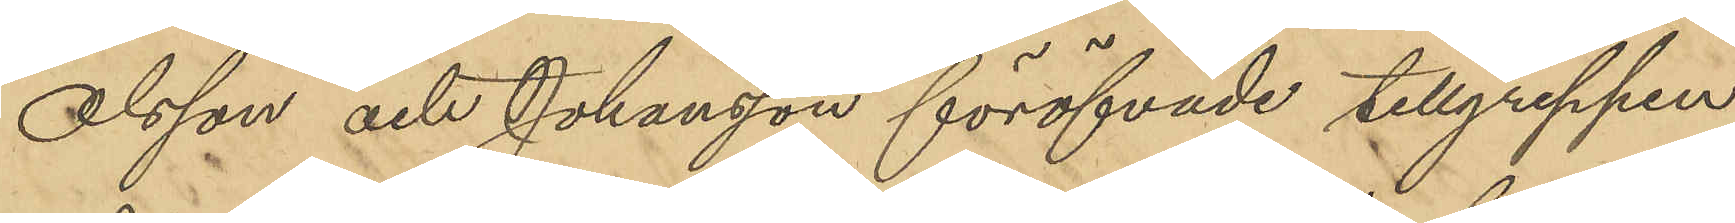Olsson och Johansson föröfvade tillgreppen.
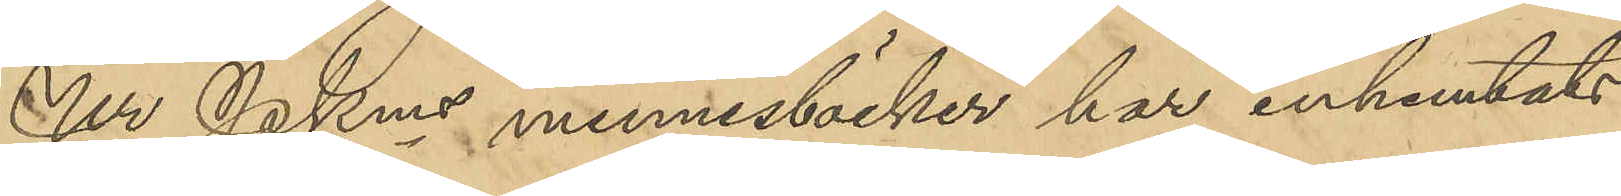Ur PKms minnesböcker har inhemtats
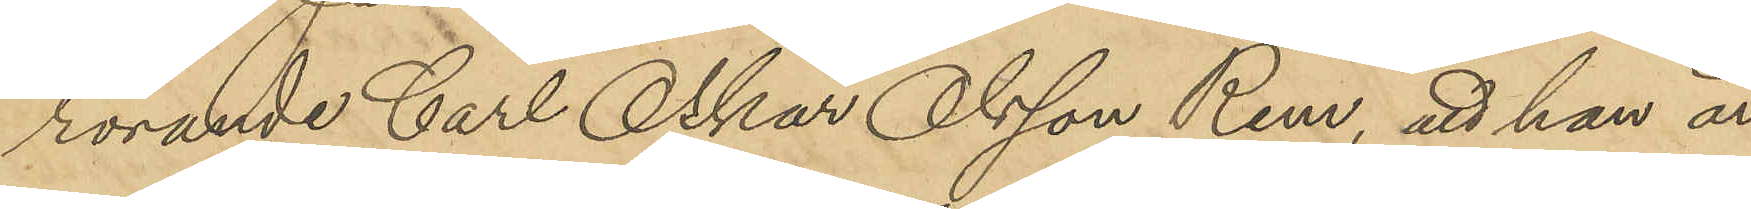rörande Carl Oskar Olsson Rem, att han är
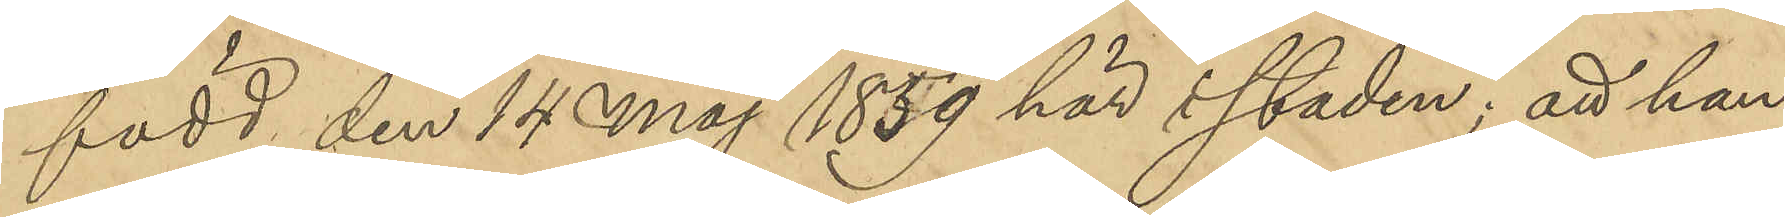född den 14 Maj 1859 här i Staden; att han
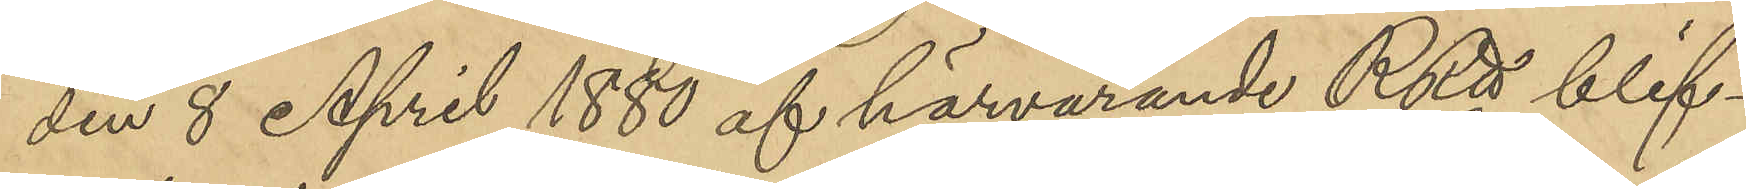den 8 April 1880 af härvarande RRtt blif¬
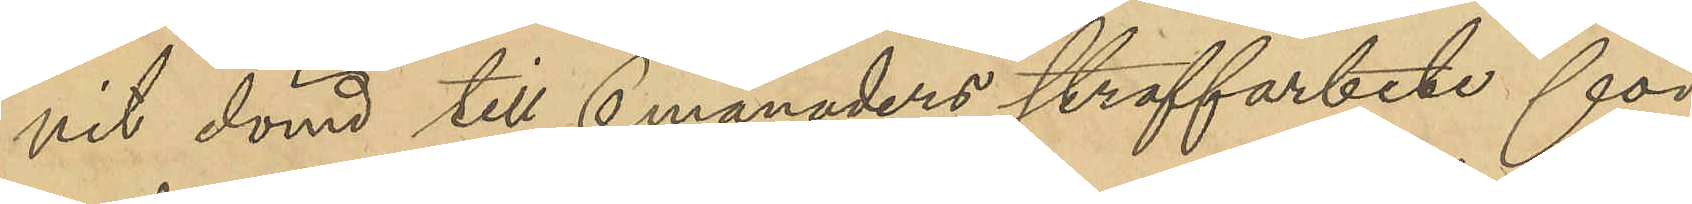vit dömd till 6 månaders straffarbete för
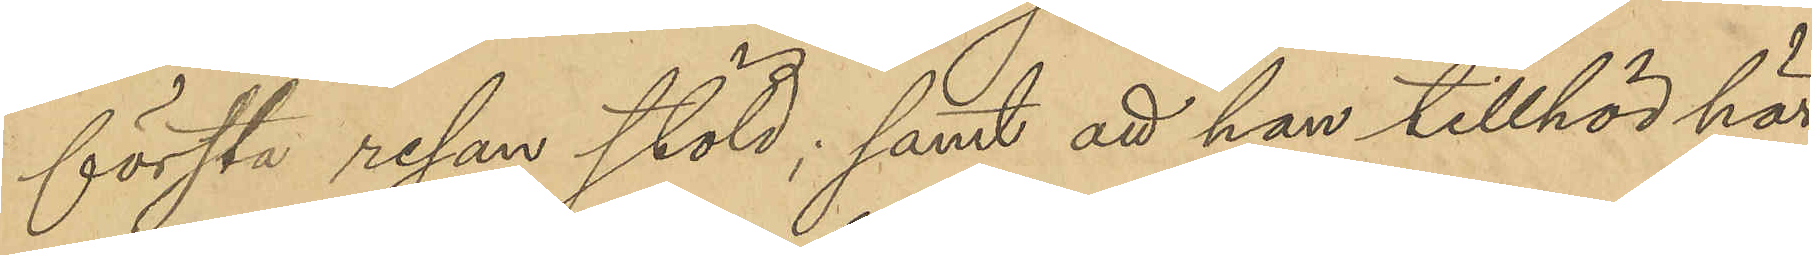första resan stöld; samt att han tillhör här¬
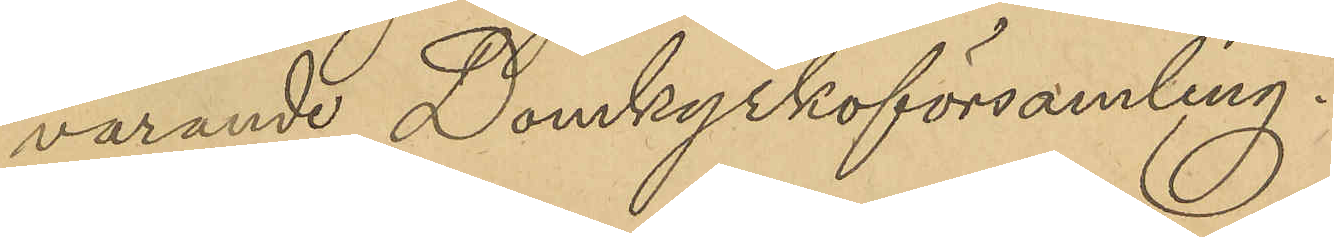varande Domkyrkoförsamling.
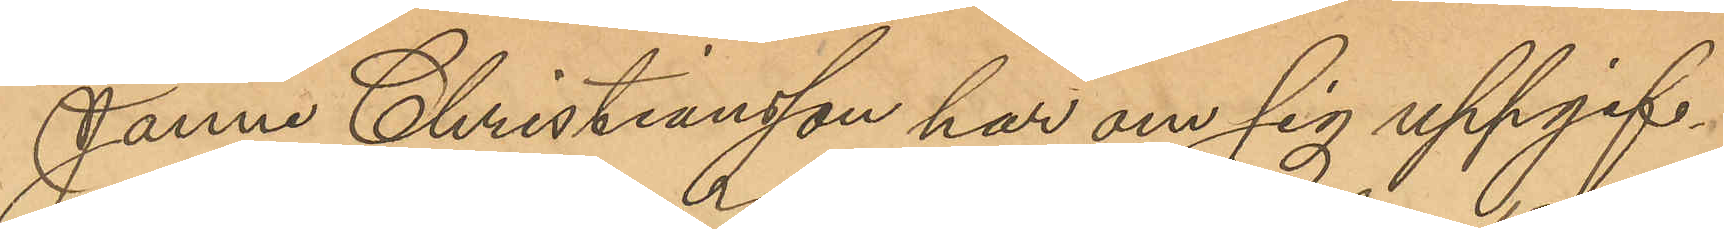Janne Christiansson har om sig uppgif¬
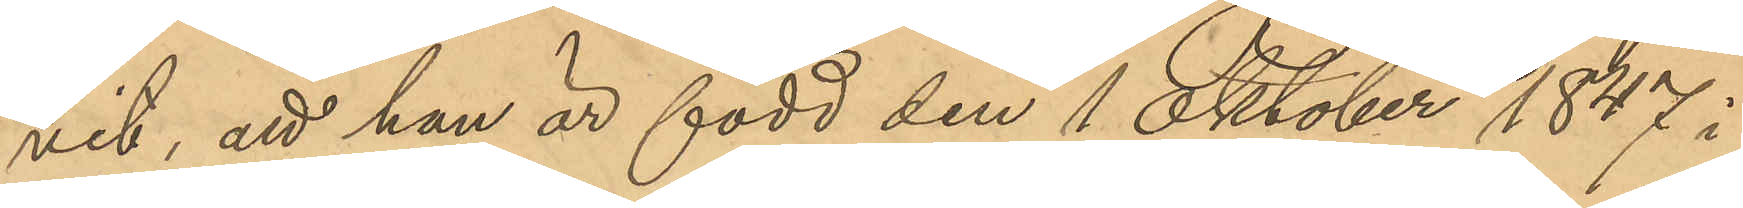vit, att han är född den 1 Oktober 1847 i
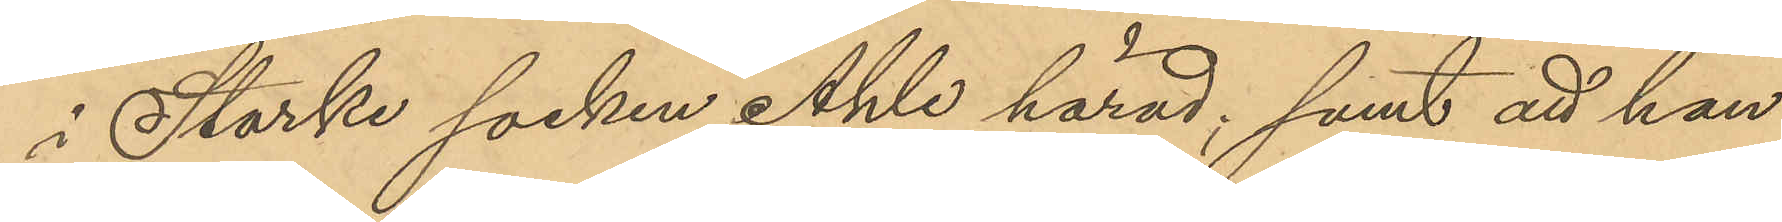i Starke socken, Ahle härad; samt att han
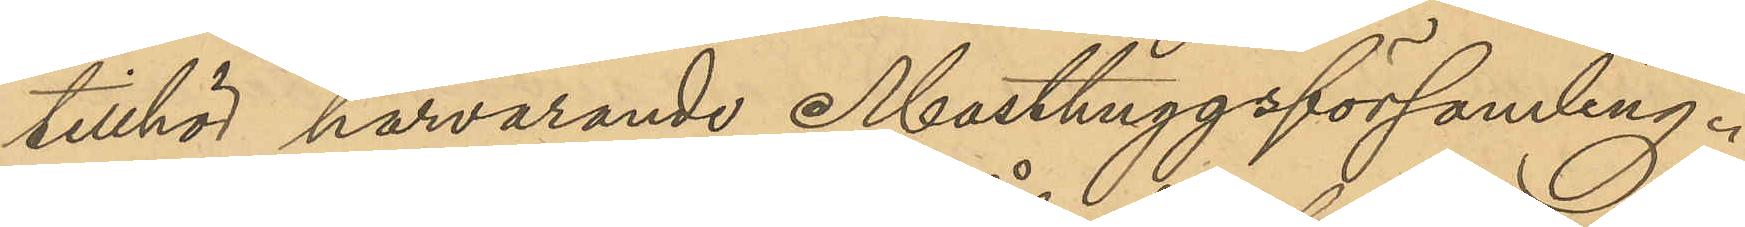tillhör härvarande Masthuggsförsamling.
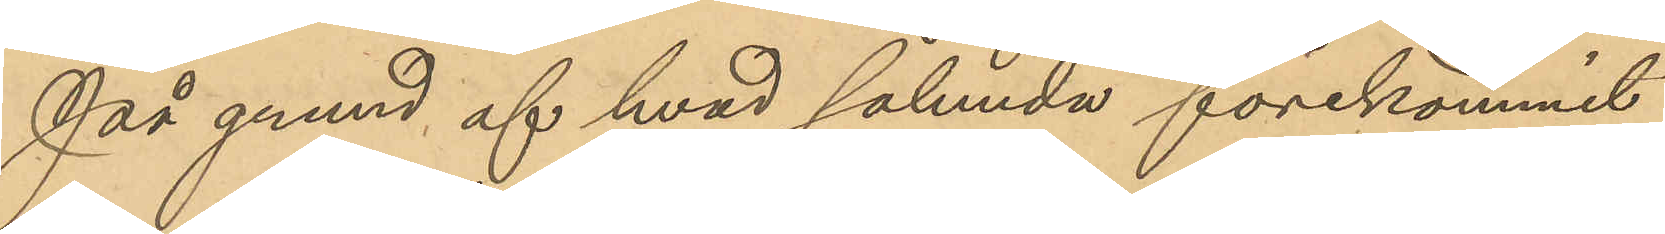På grund af hvad sålunda förekommit
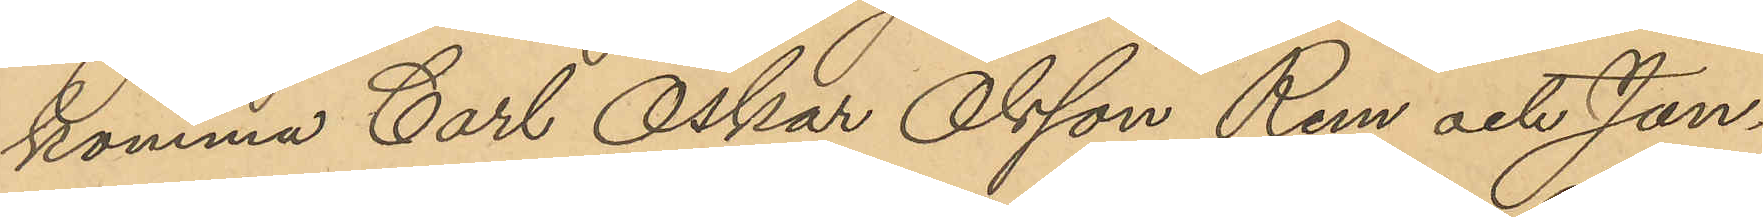komma Carl Oskar Olsson Rem och Jan¬
